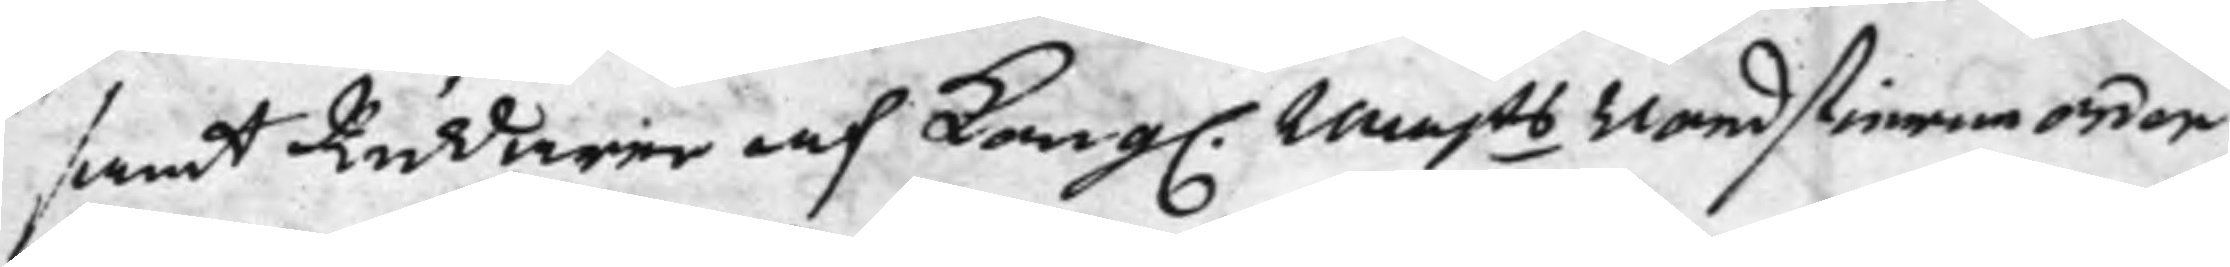samt Riddaren af Kong. Majts Nordstierneorden
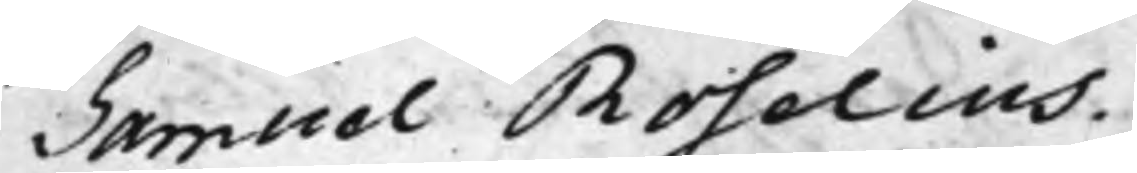Samuel Roselius.
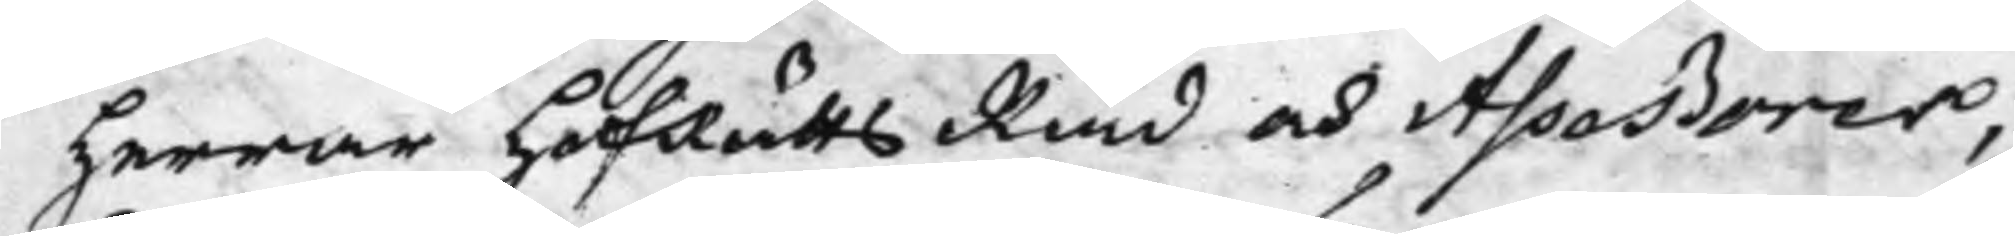Herrar HofRätts Råd och Asseßorer,
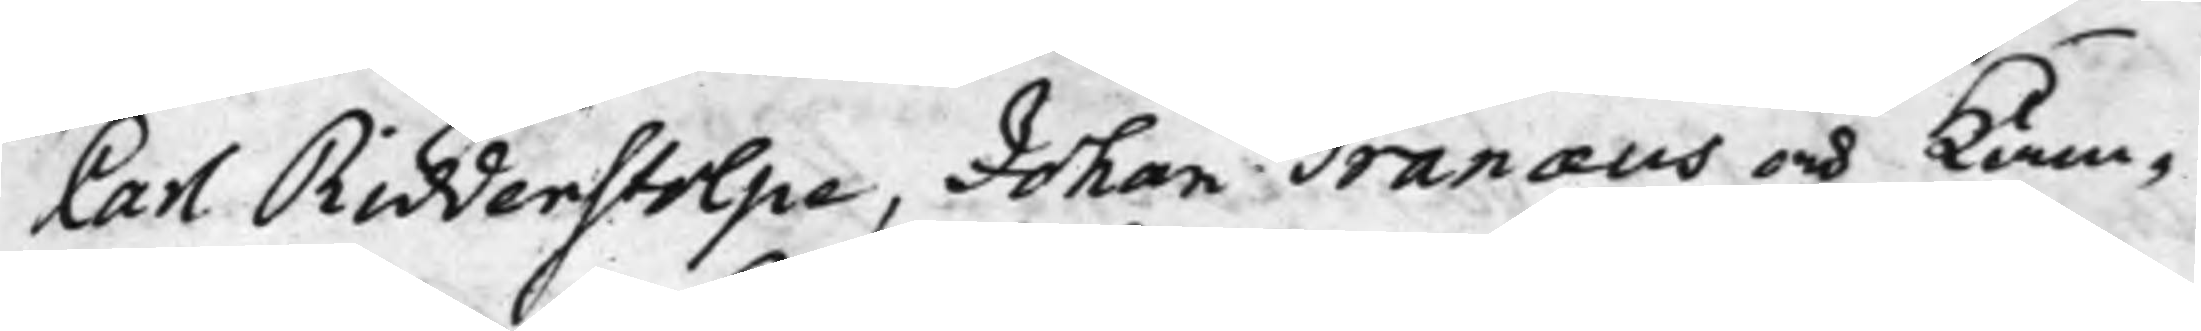Carl Ridderstolpe, Johan Tranæus och Kam¬
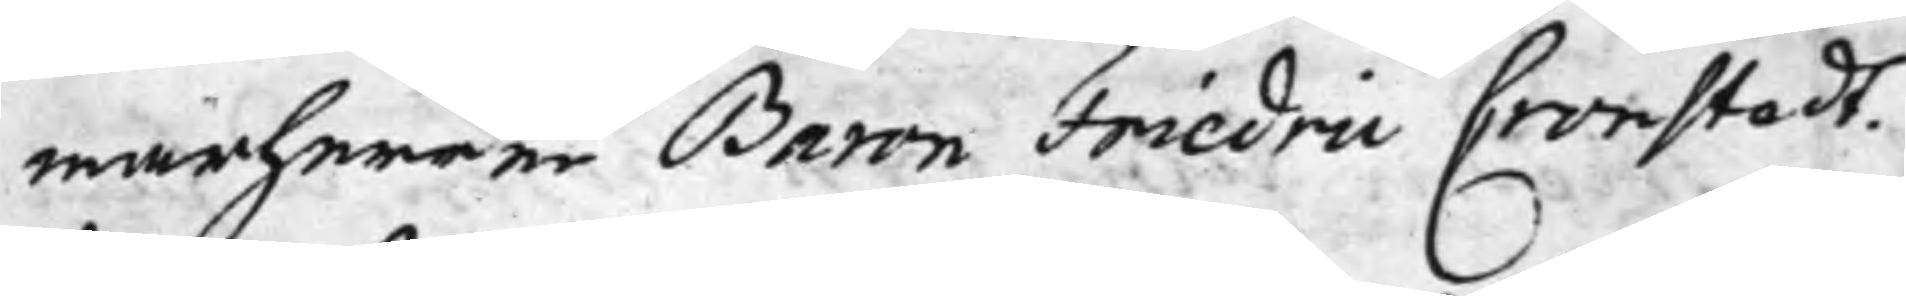marherren Baron Friedric Cronstedt.
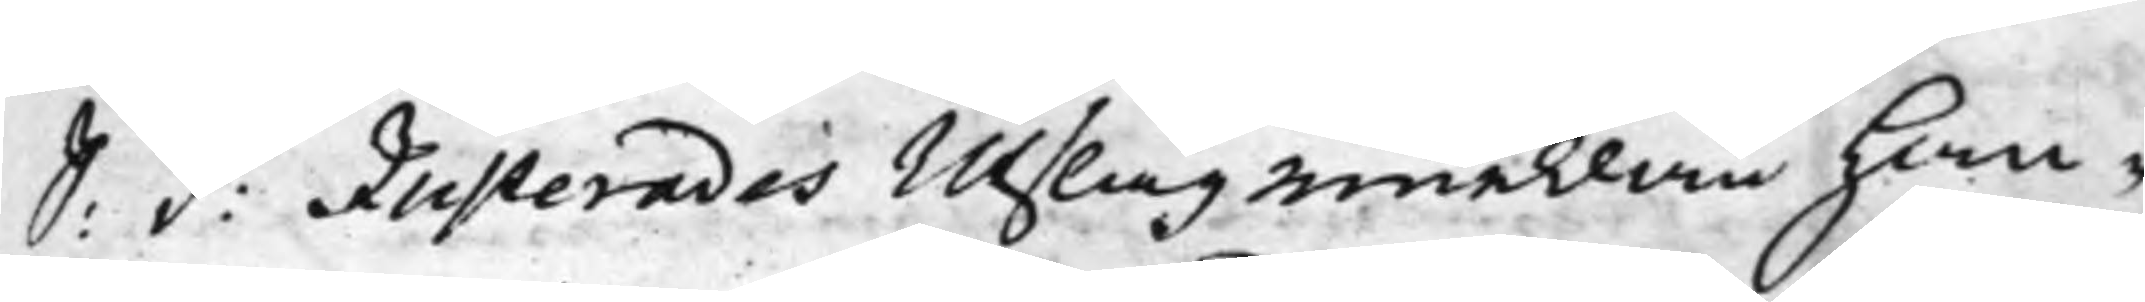S: d: Justerades Utslag emellan Han¬
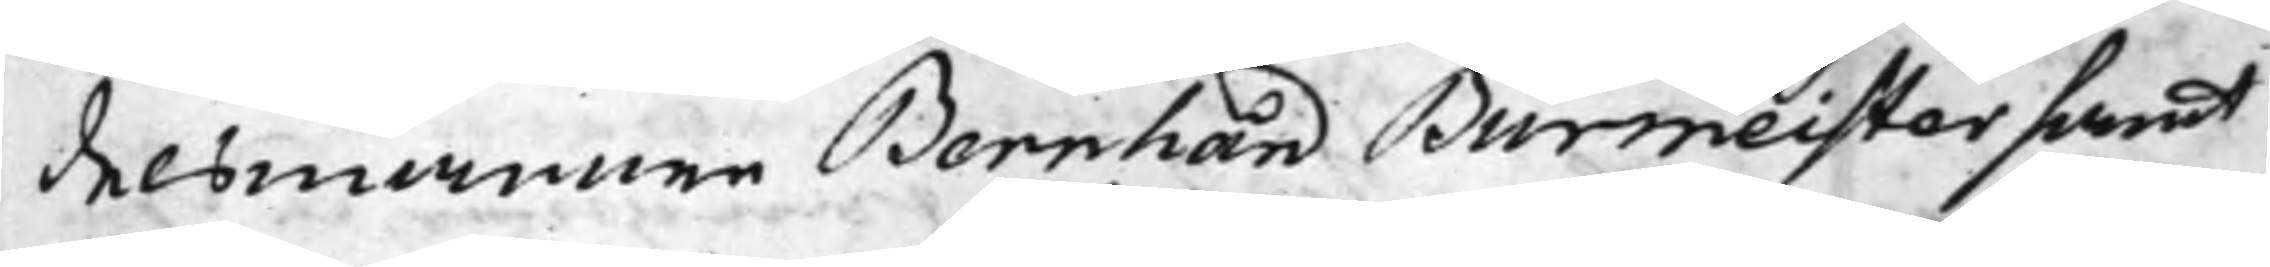delsmannen Bernhard Burmeister samt
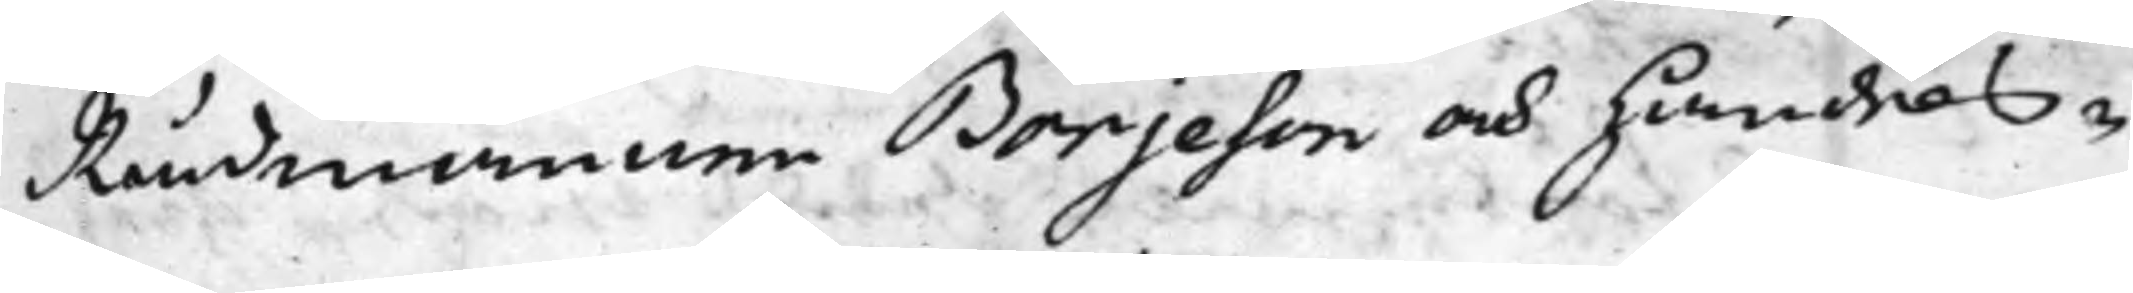Rådmannen Börjeson och Handels¬
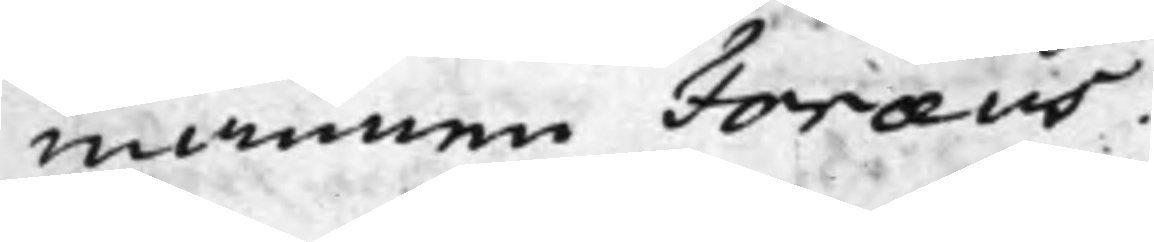mannen Foræus.
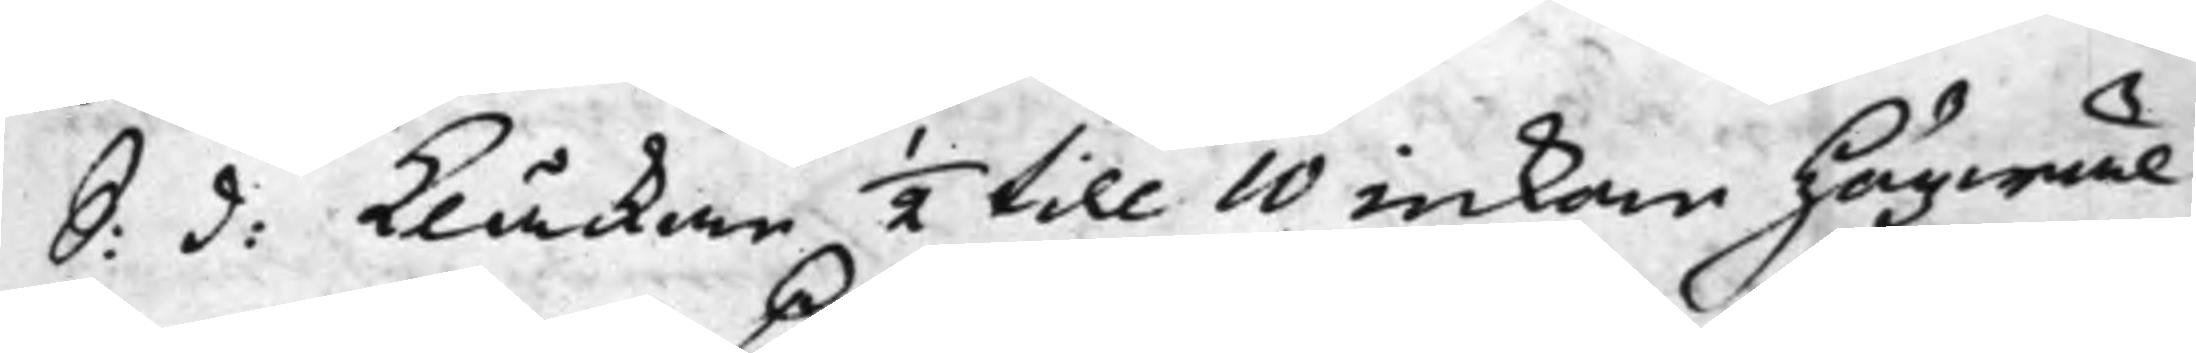S: d: Klåckan ½ till 10 inkom Högwäl¬
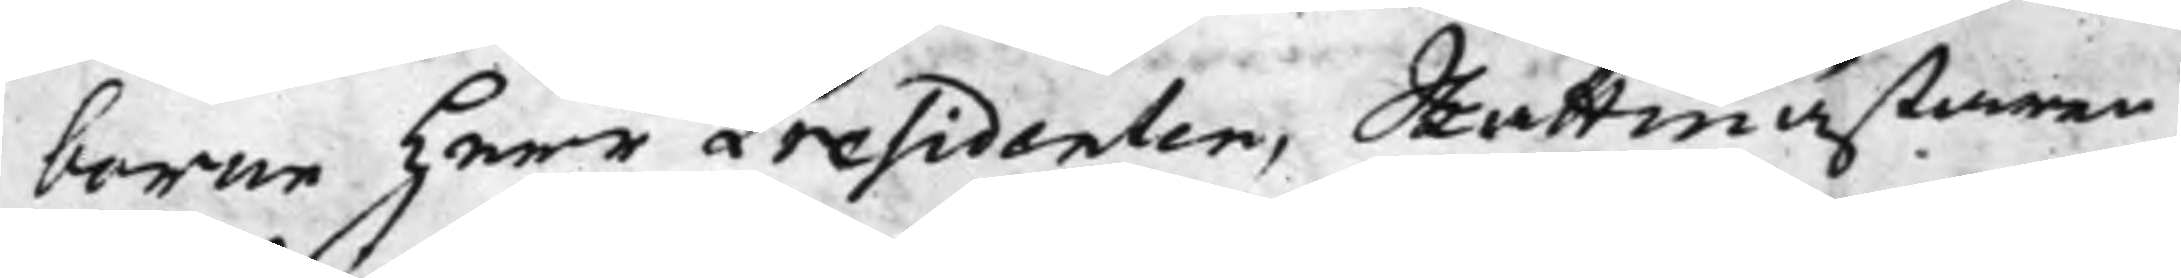borne Herr Presidenten, Skattmästaren
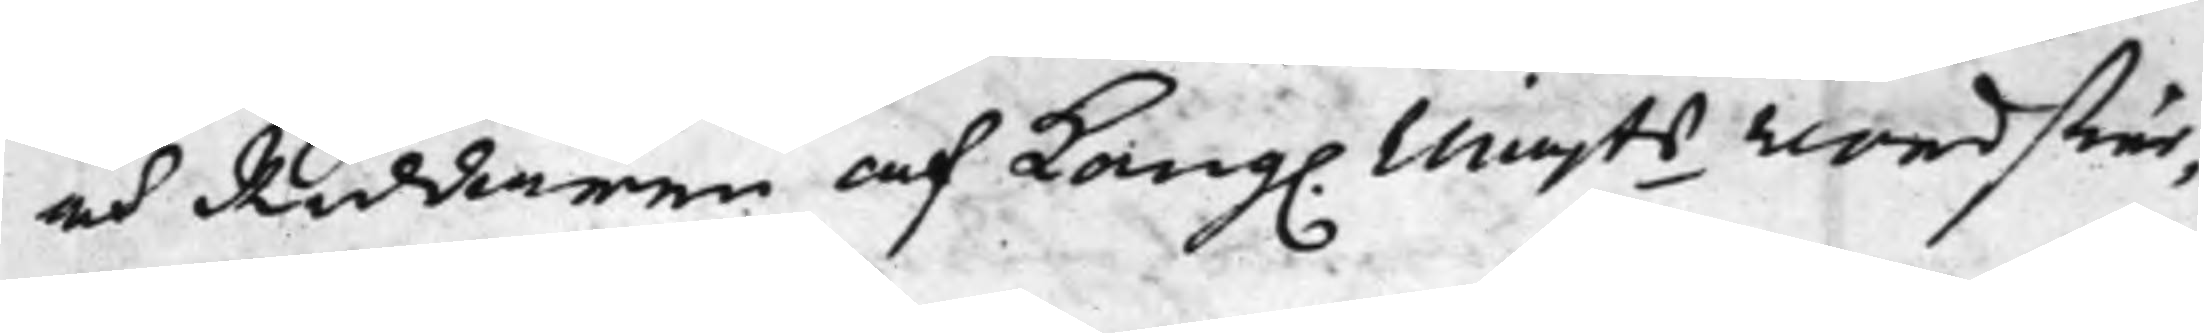och Riddaren af Kong. Majts Nordstier¬
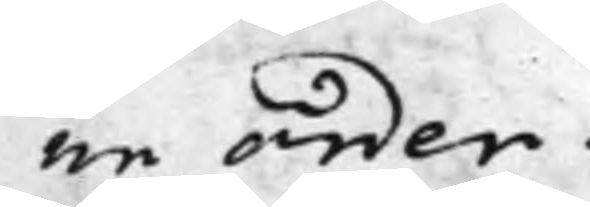ne orden.
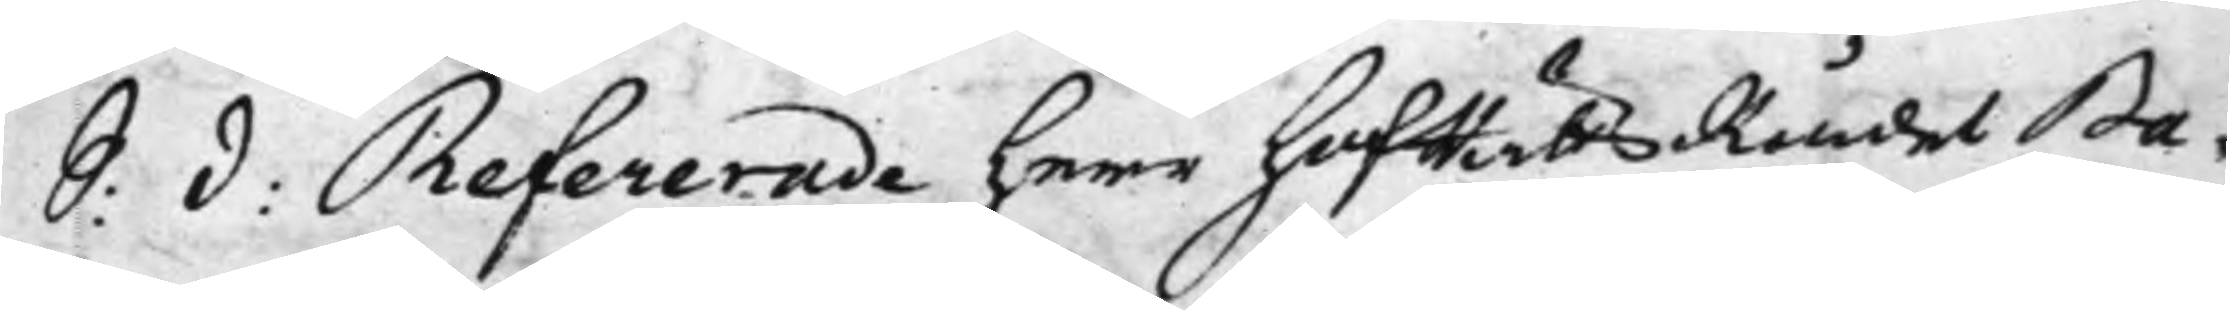S: d: Refererade Herr HofRättsRådet Ba¬
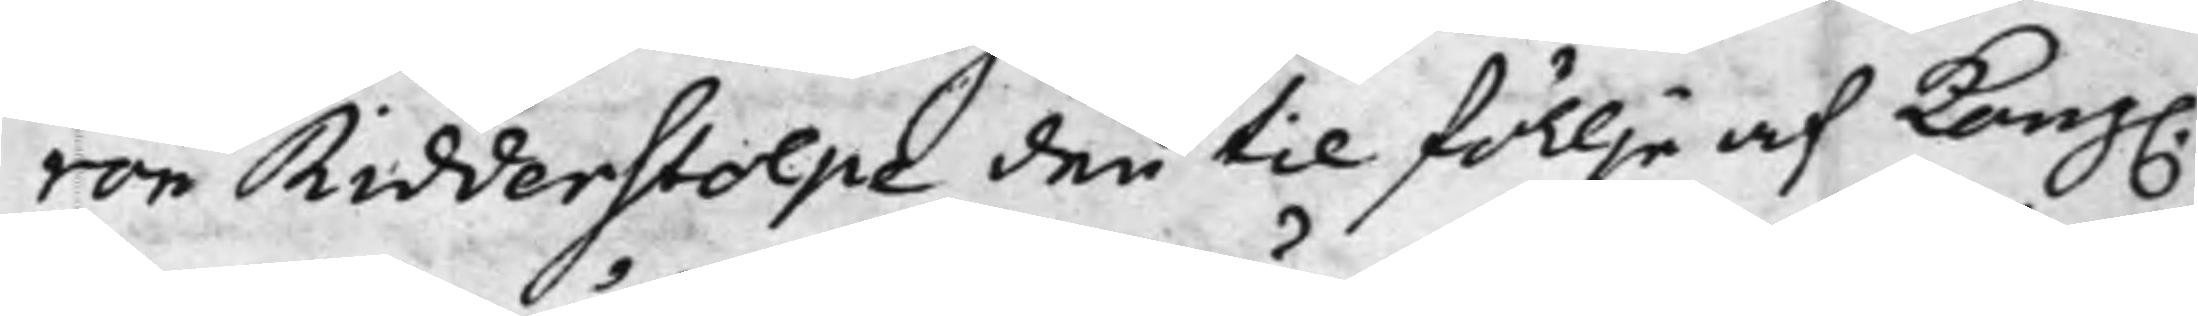ron Ridderstolpe den til föllje af Kong.
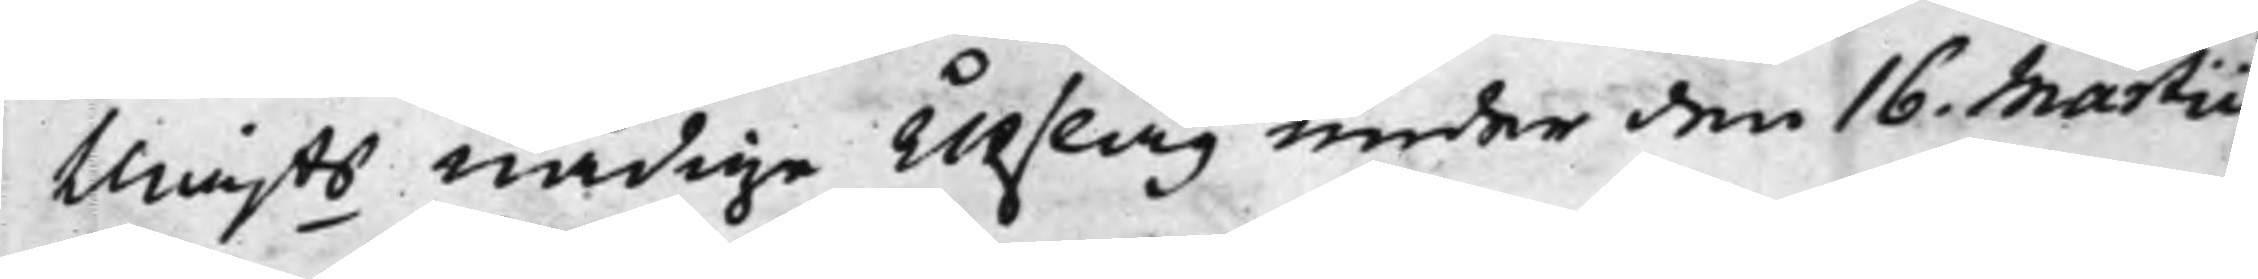Maijts nådige Utslag under den 16. Martii
